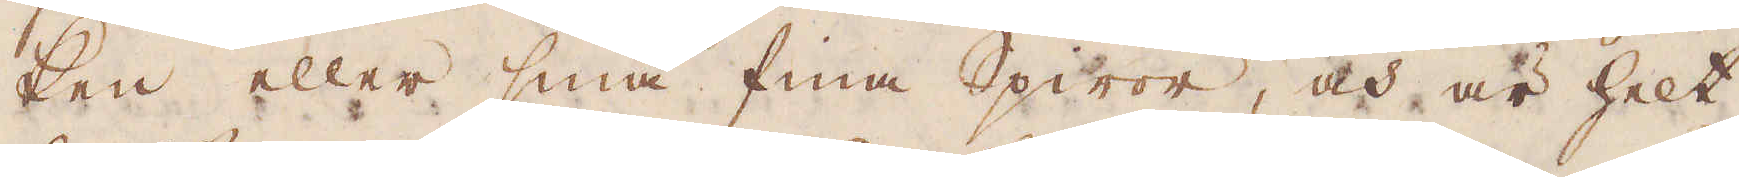ken eller små fina Spiror, och är helt
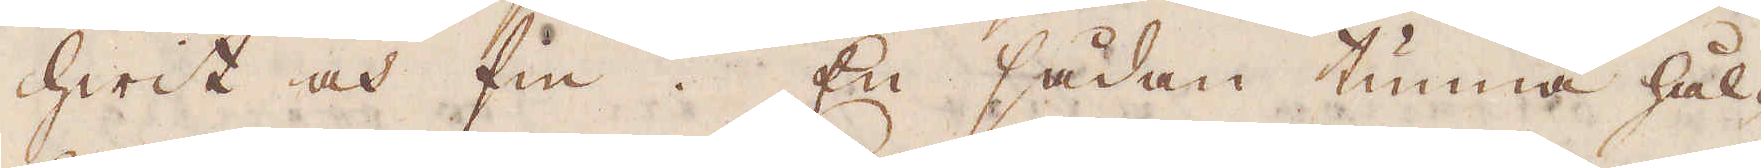hwit och fin. En sådan tunna hål-
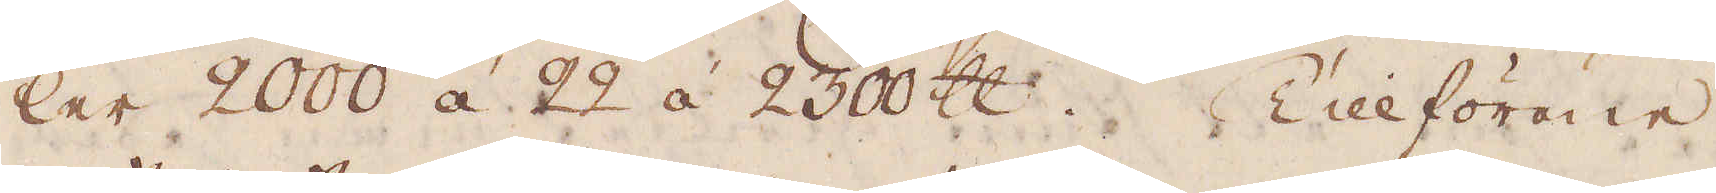ler 2000 á 22 à 2300 skålpund. Tillförene
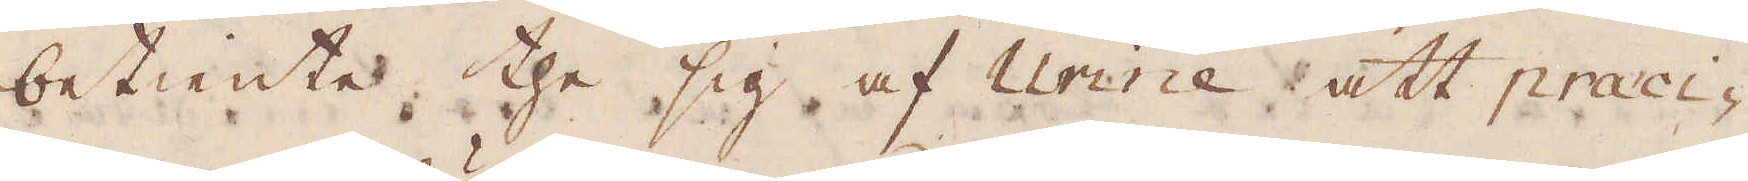betiente the sig af urine att praeci-
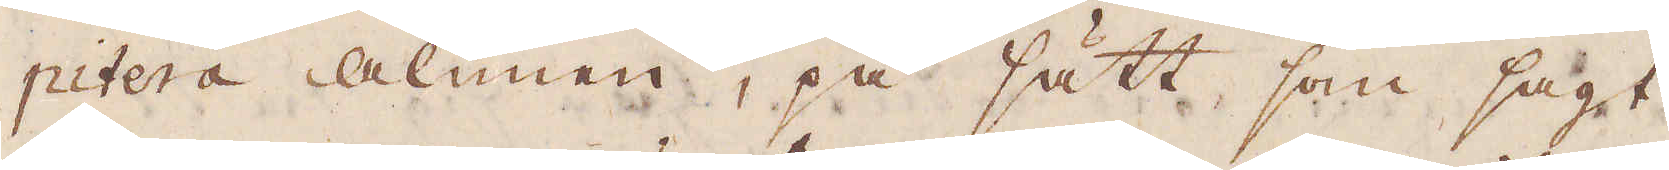pitera alunen, på sätt som sagt
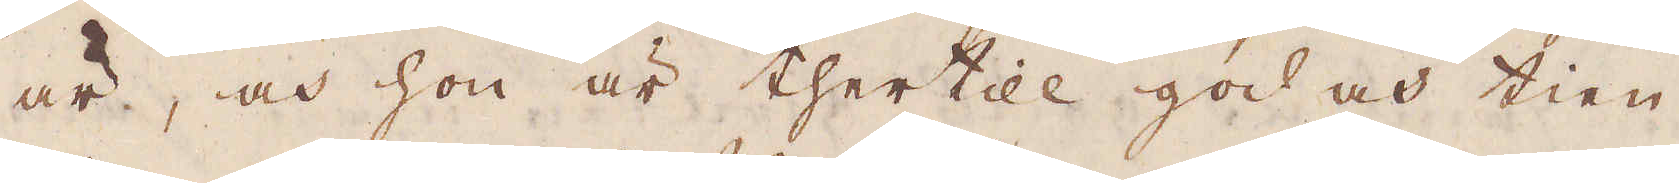är, och hon är thertill god o tien-
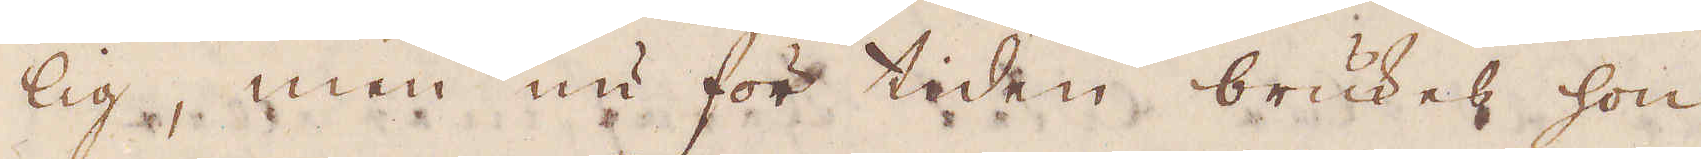lig, men nu för tiden brukes hon
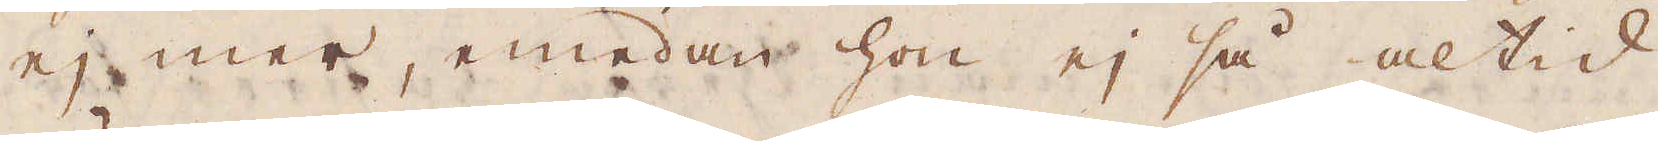ej mer, emedan hon ej så altid
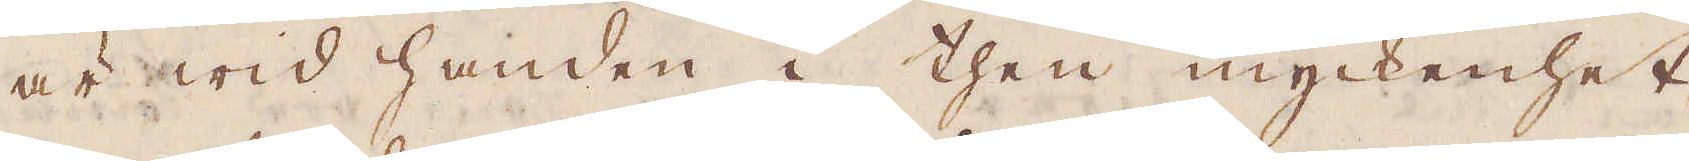är wid handen i then myckenhet
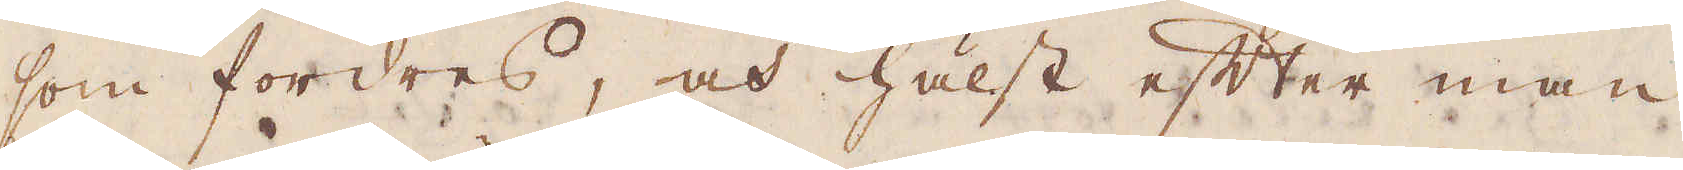som fordres, och hälst efter man
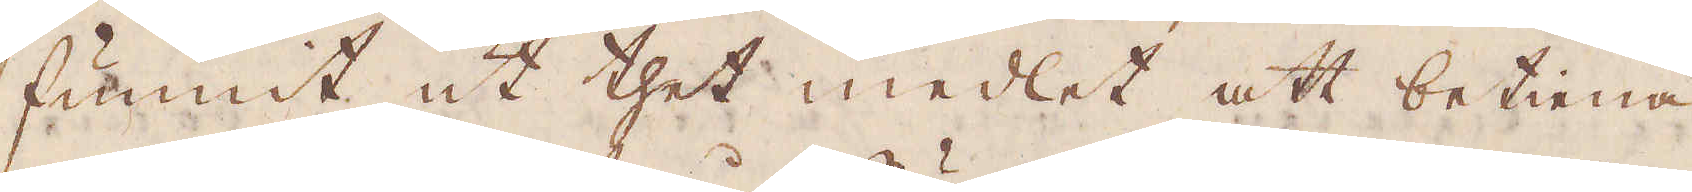funnit ut thet medlet att betiena
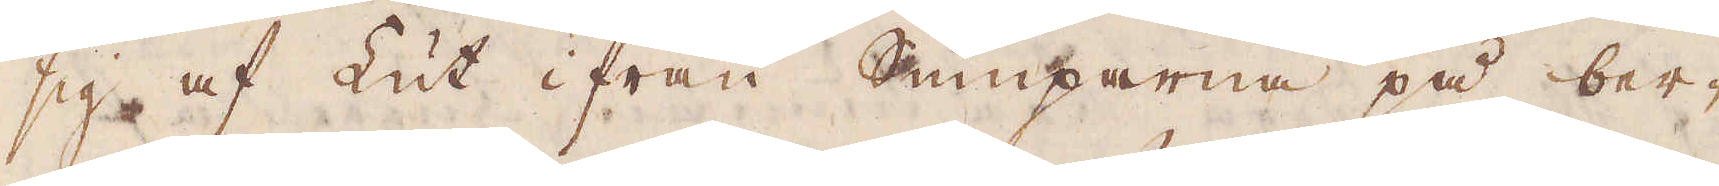sig af Lut ifrån Sumparne på ber-
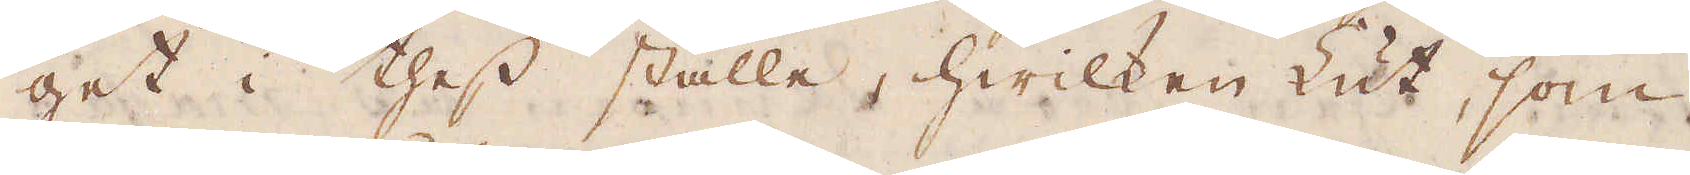get i thess ställe, hwilken Lut, som
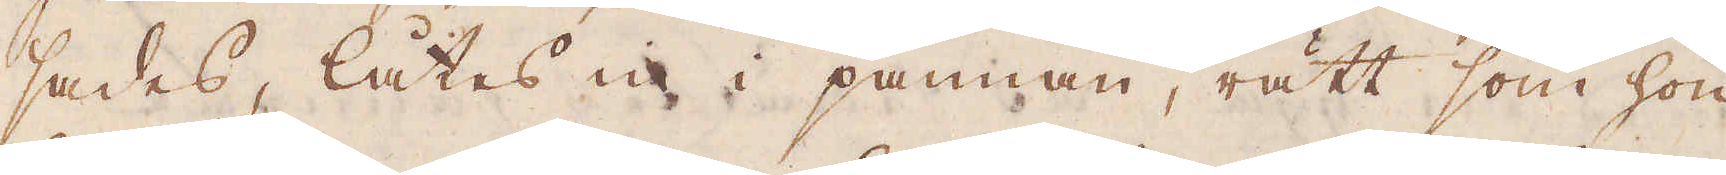sades, låtes in i pannan, rätt som hon
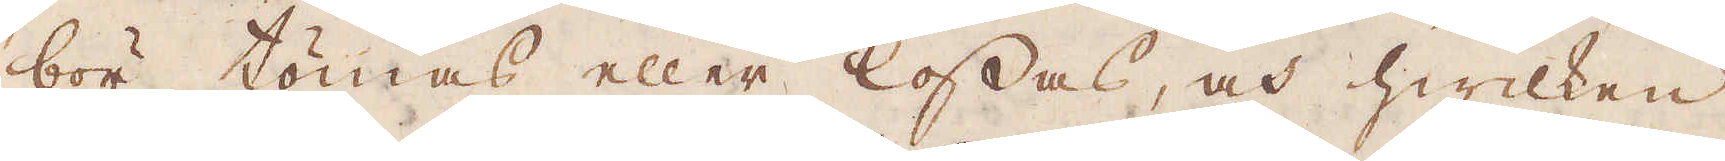bör tömas eller lossas, och hwilken
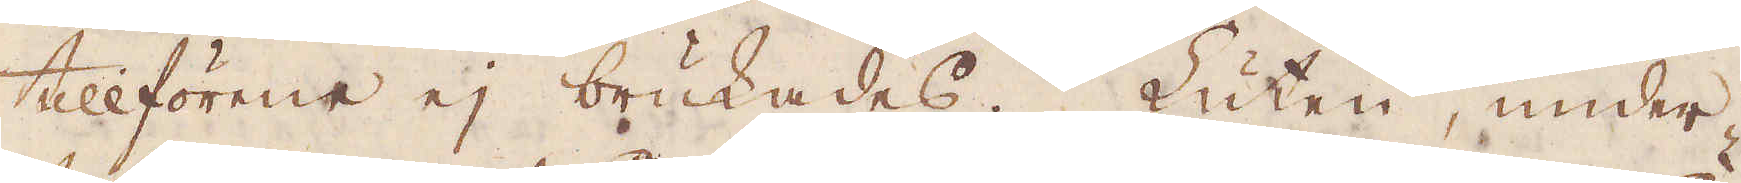tillförene ej brukades. Luten, under
